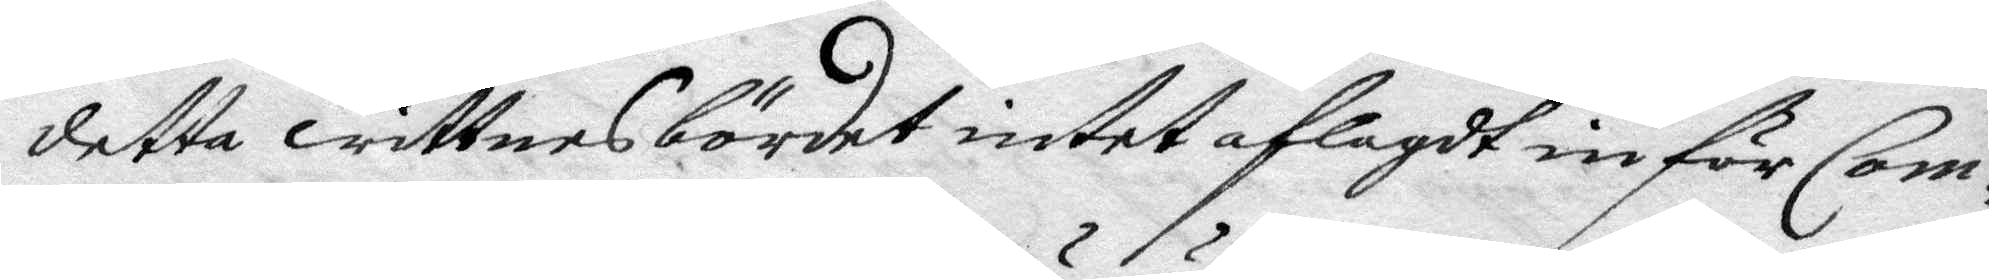detta wittnesbördet intet aflagdt inför Com¬
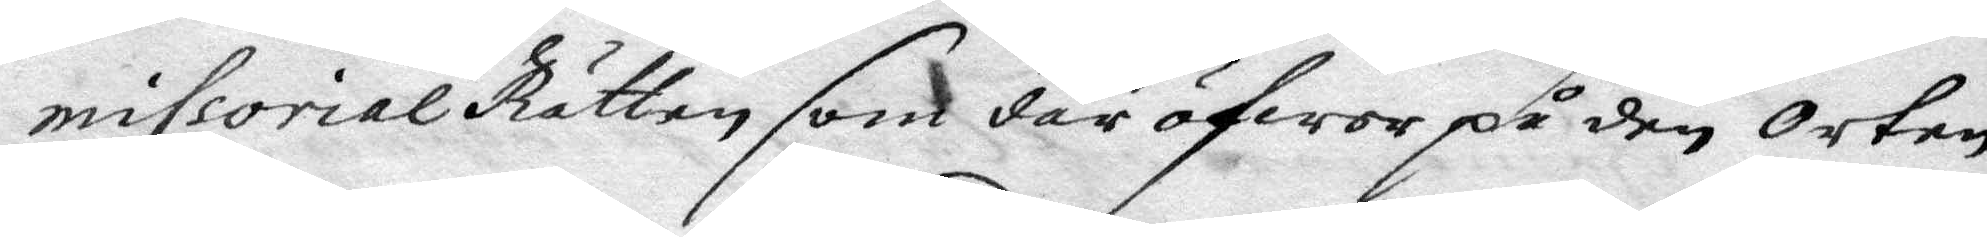missorial Rätten som där öfwer på den orten
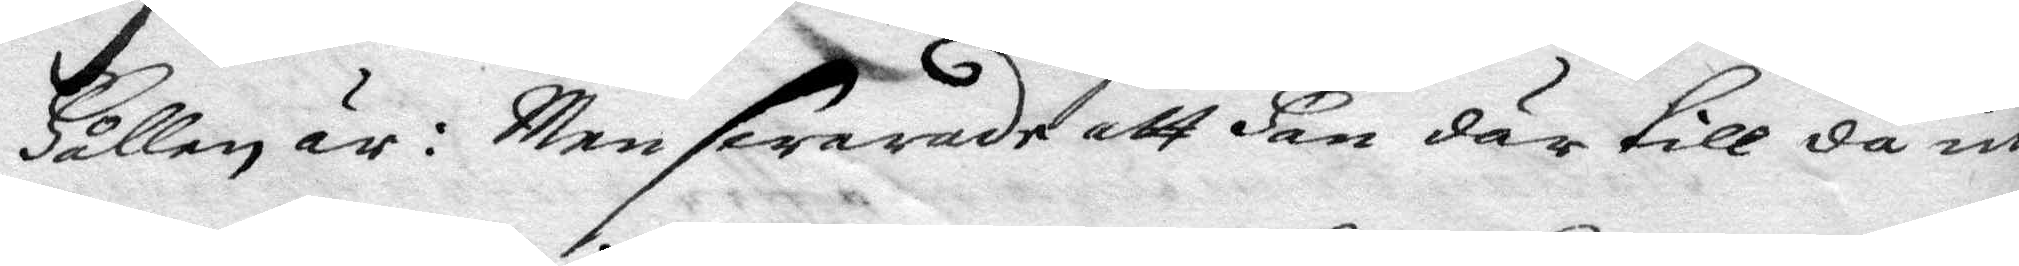Hållen är: Men swarade att Han där till då in¬
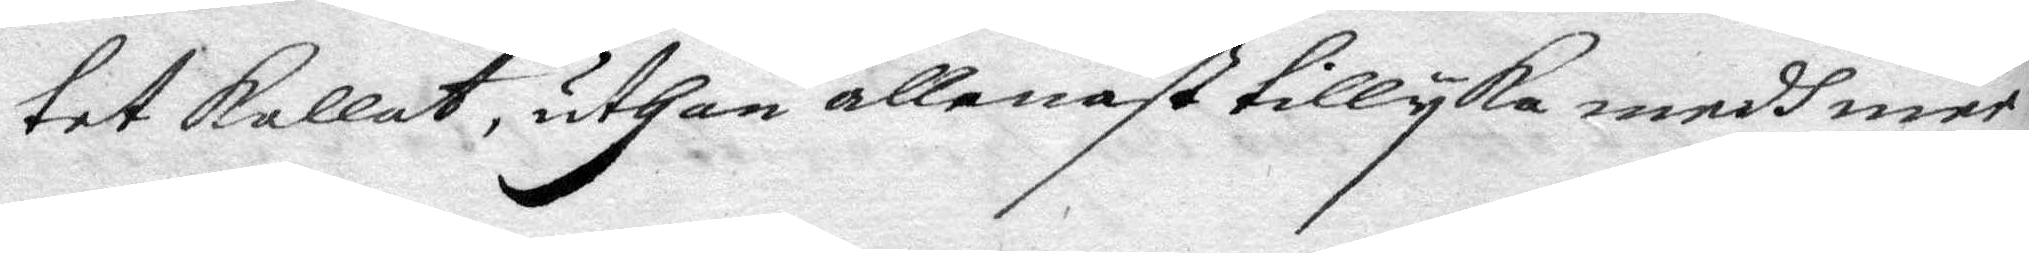tet kallat, uthan allenast tillyka medh mer¬
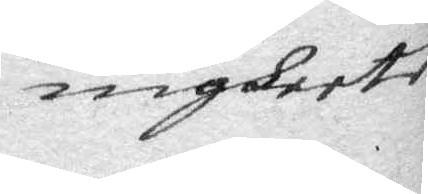nigheete
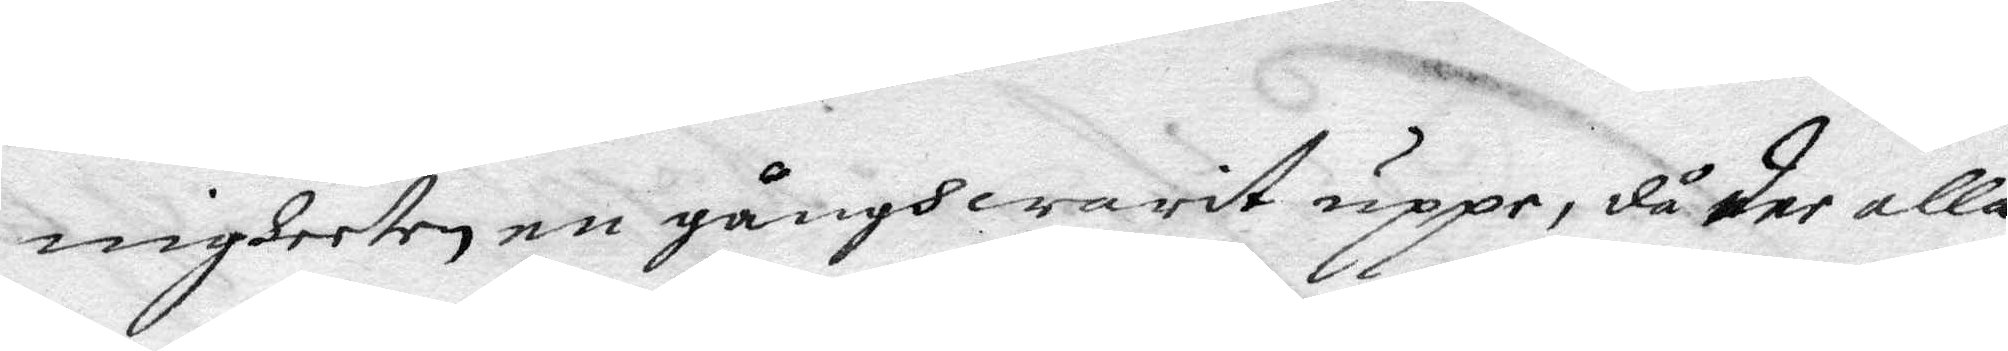nigheeten en gångh warit uppe, då der alla
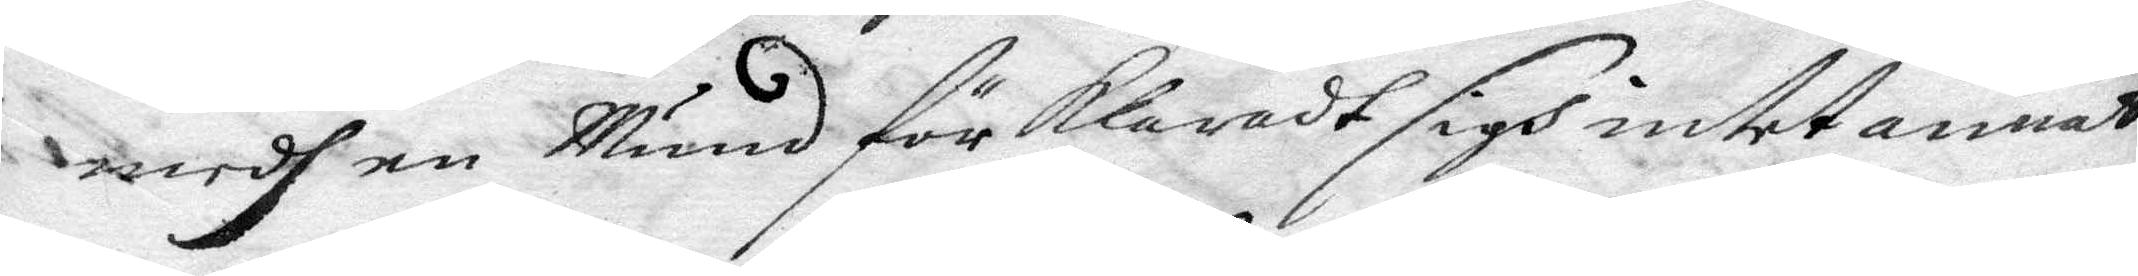medh en Mund för klaradt sigh intet annat
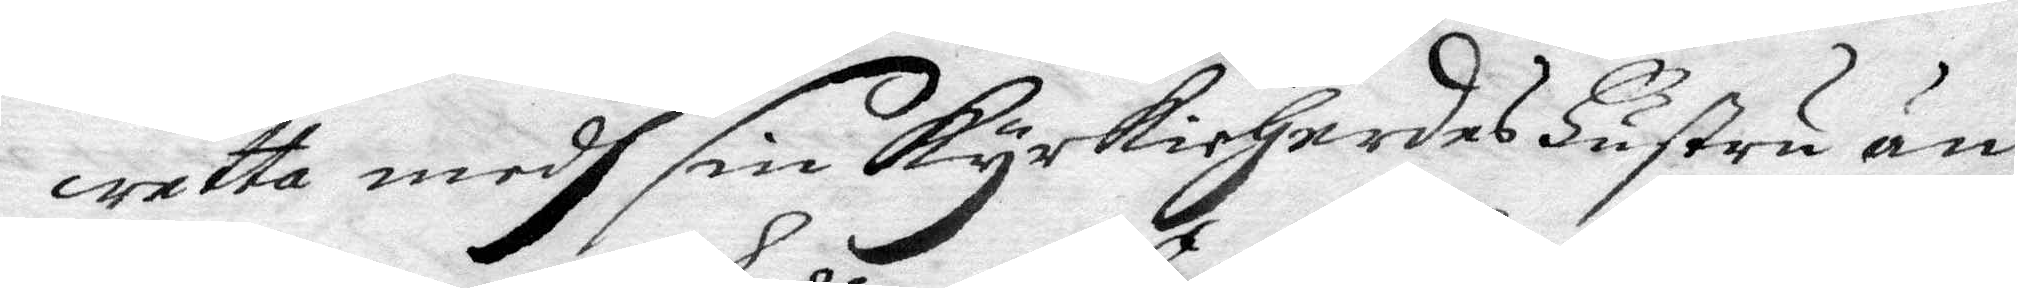wetta medh sin kyrkioHerdes Hustru än
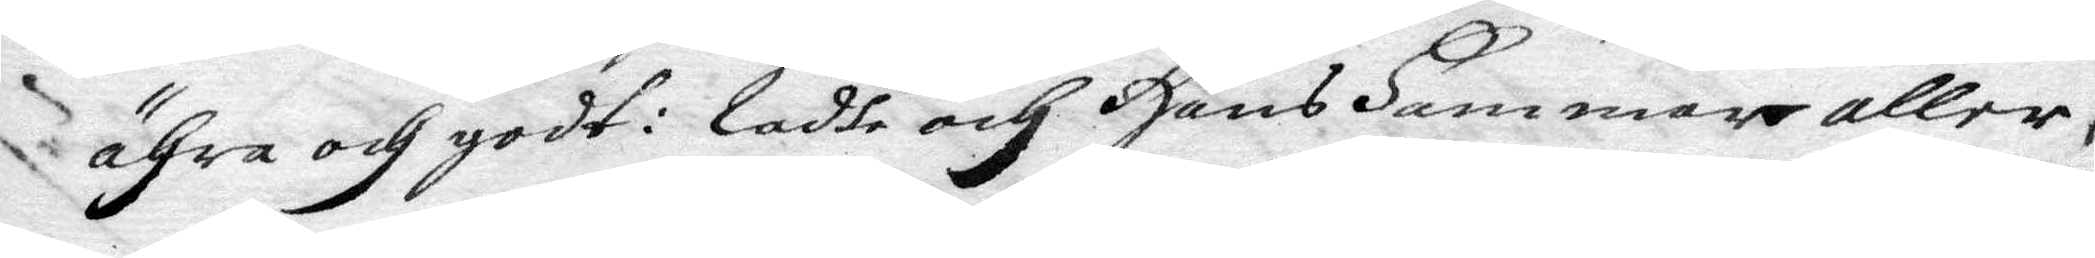ähra och godt: Ladhe och Hans Hammar aller¬
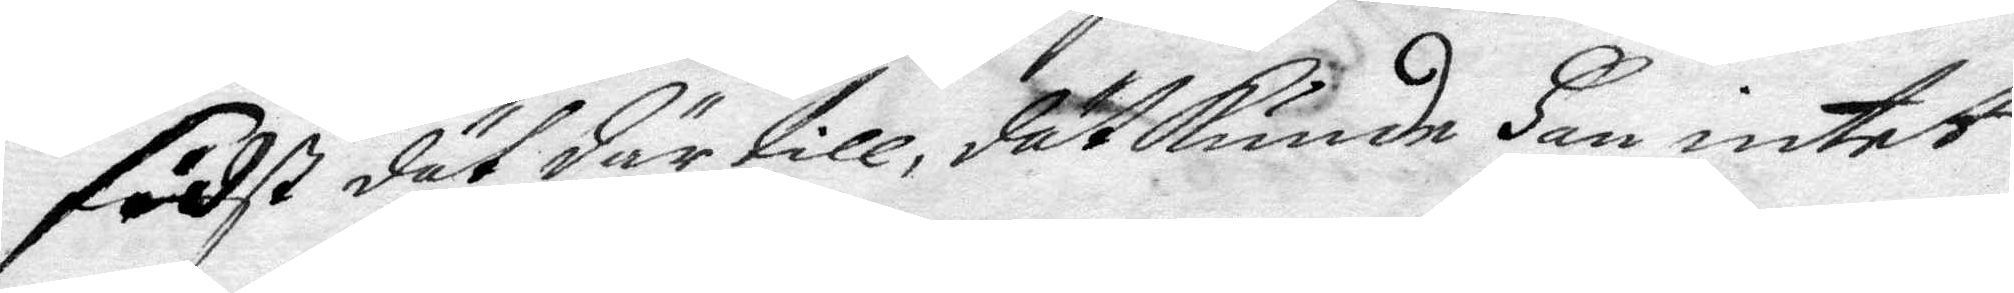sidst dät där till, dät kunde Han intet
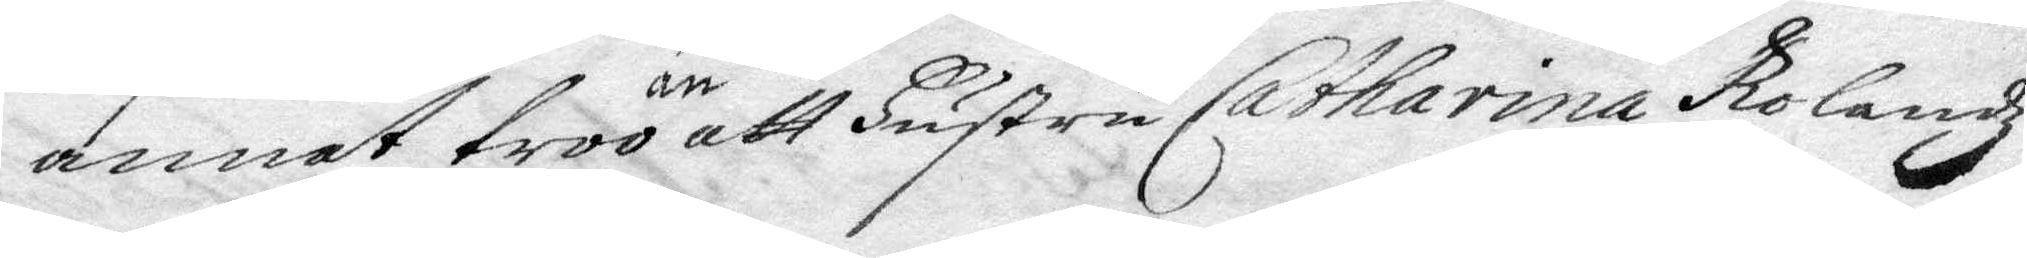annat troo än att Hustru Catharina Rolandz
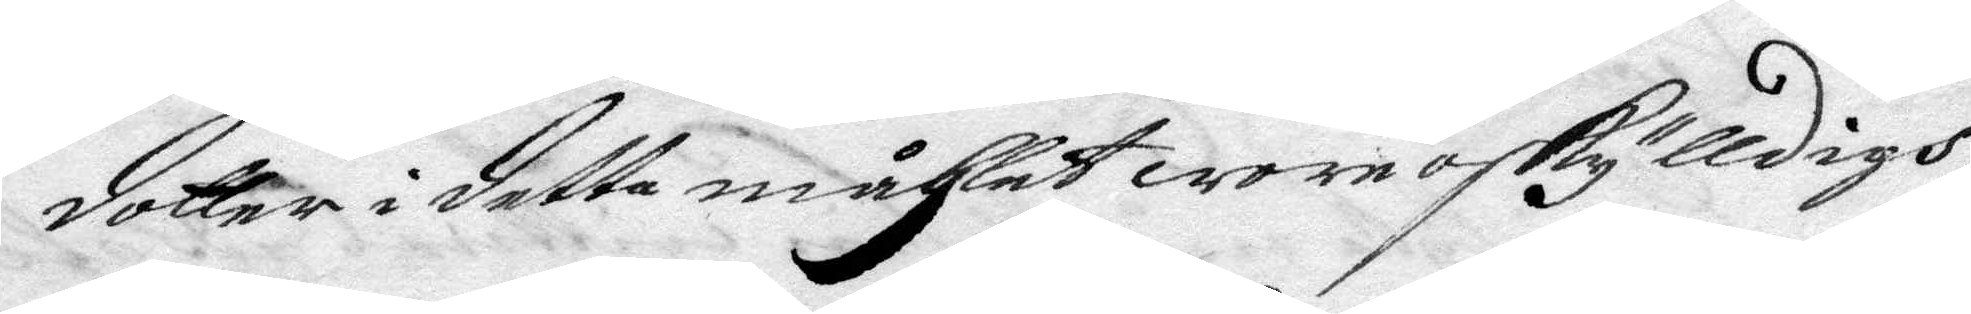dotter i detta måhlet woro oskylldigh.
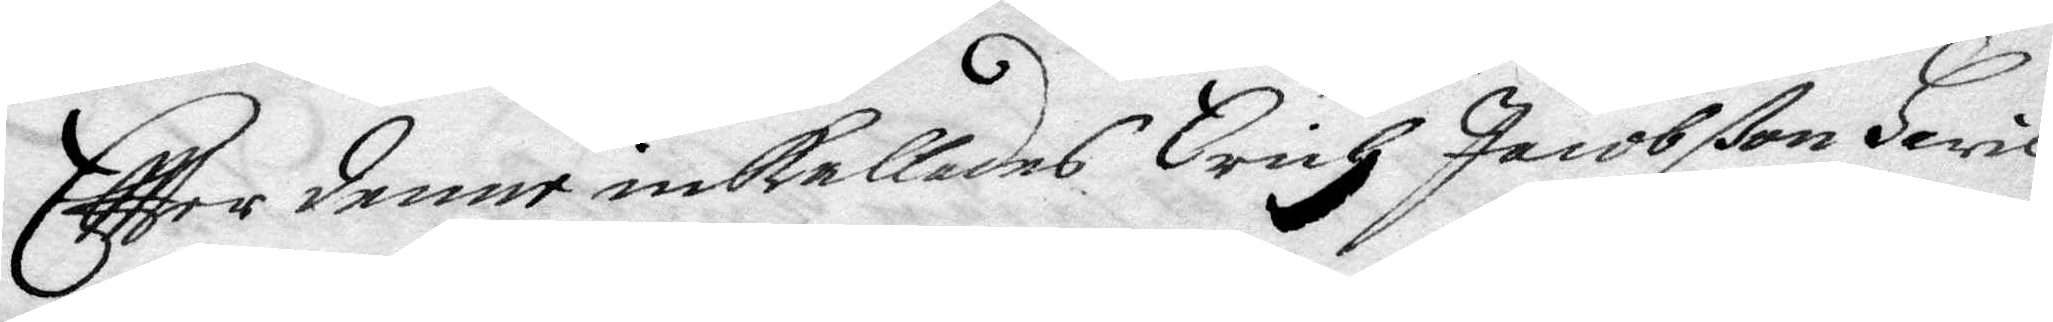Eftter denne inkallades Erich Jacobßon Hwil¬
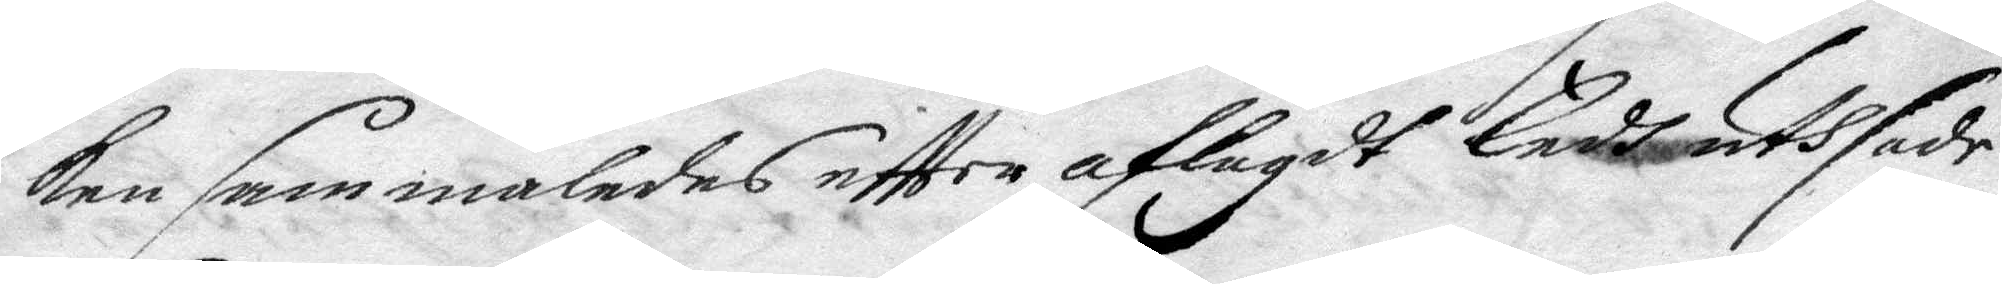ken sammaledes eftter aflagdt Eedh uthsade
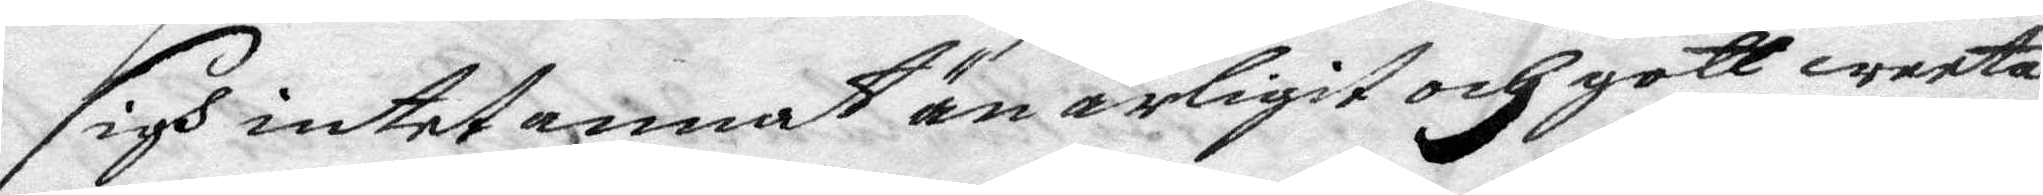sigh intet annat än ärligit och gott weeta
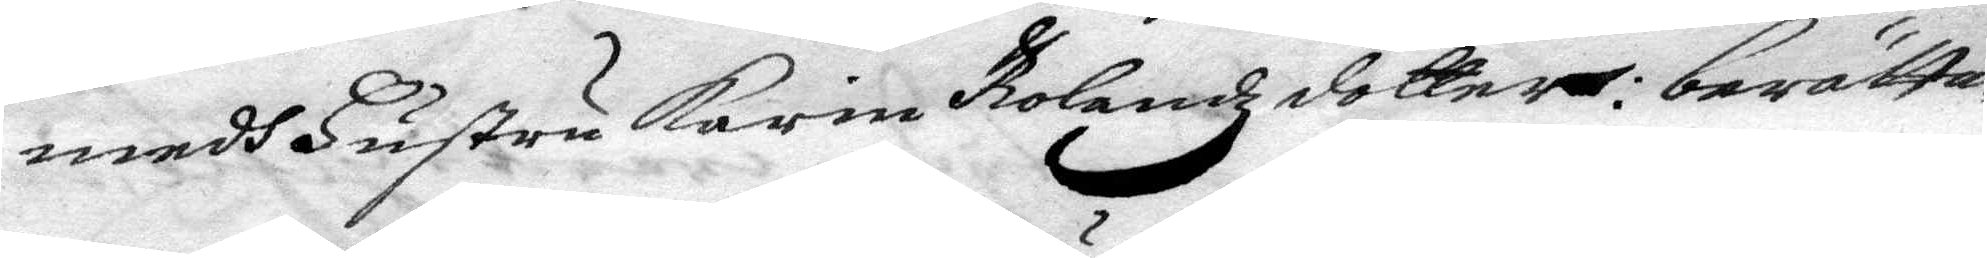medh Hustru Karin Rolandz dotter: berätta¬
